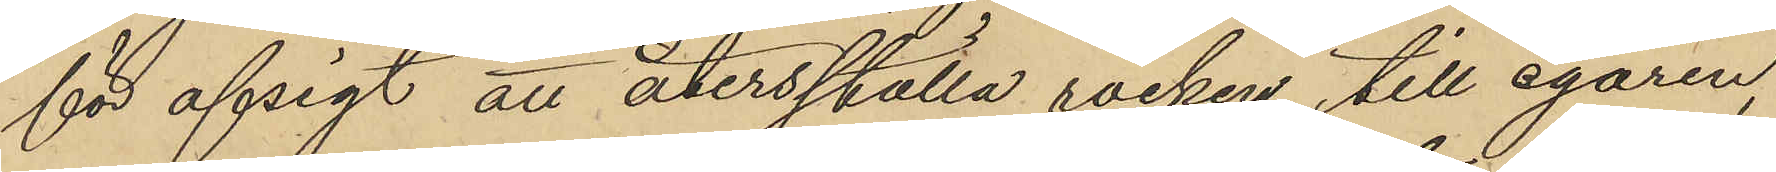för afsigt att återsställa rocken till egaren,
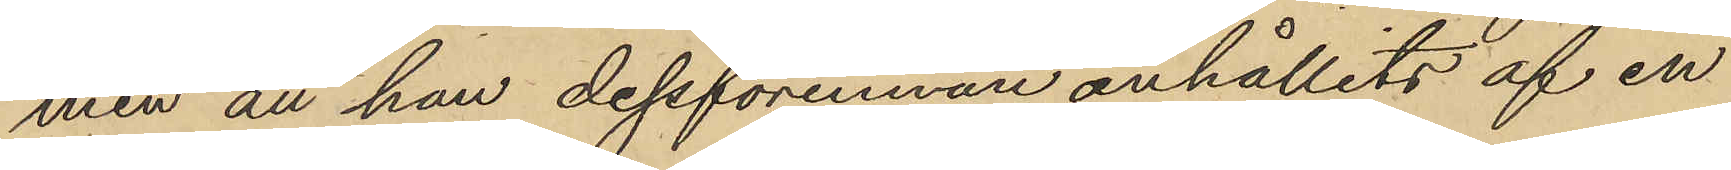men att han dessforinnan anhållits af en
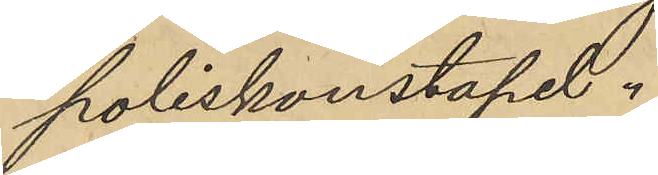poliskonstapel.
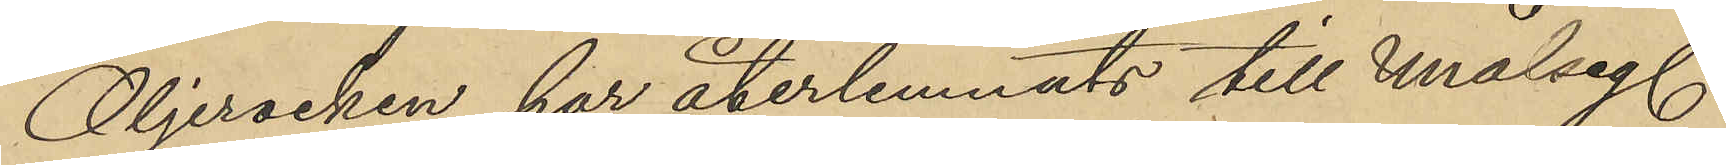Oljerocken har återlemnats till målsegl.
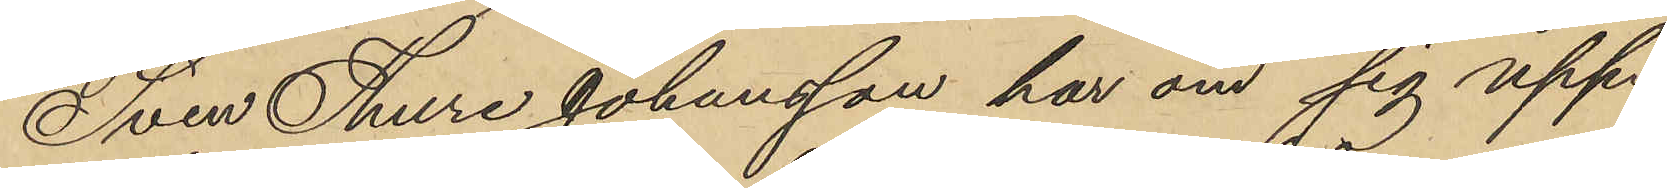Sven Thure Johansson har om sig upp¬
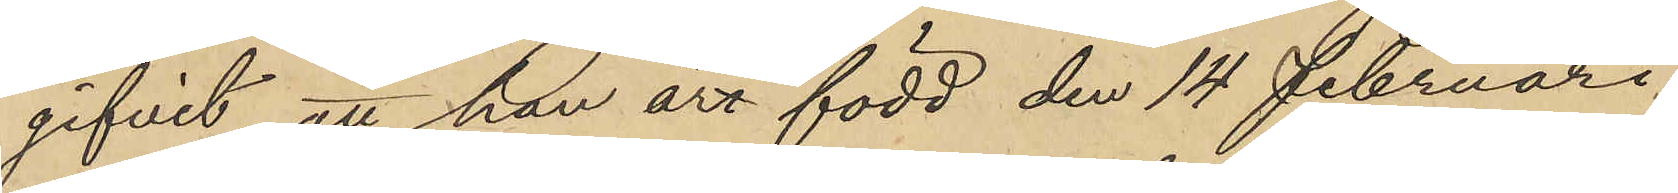gifvit att han äro född den 14 Februari
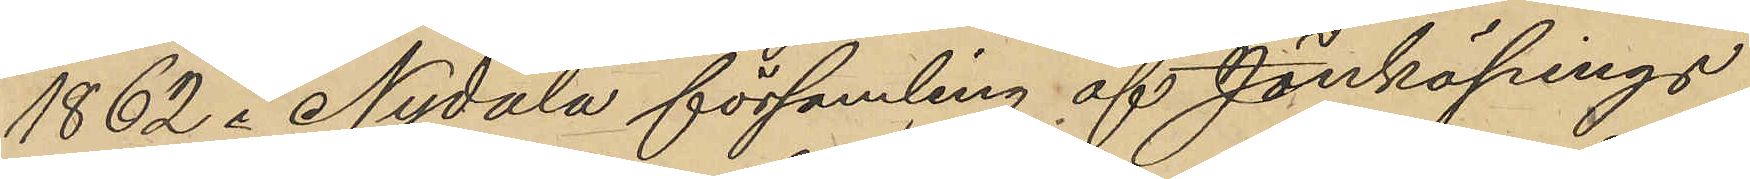1862 i Nydala församling af Jönköpings
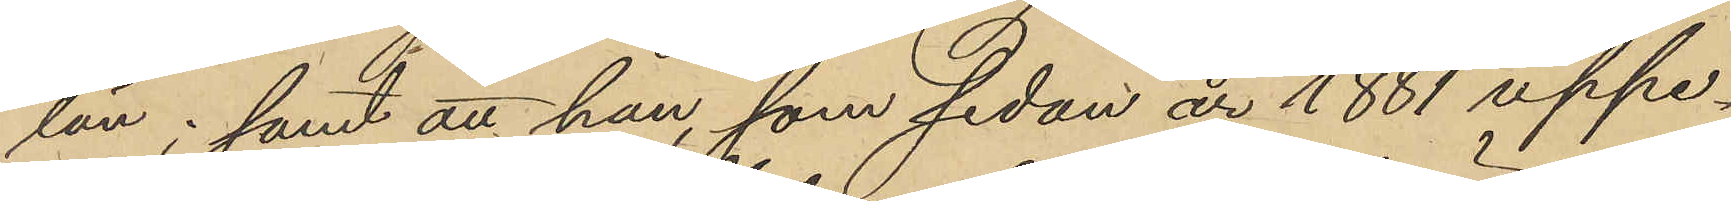län; samt att han, som sedan år 1881 uppe¬
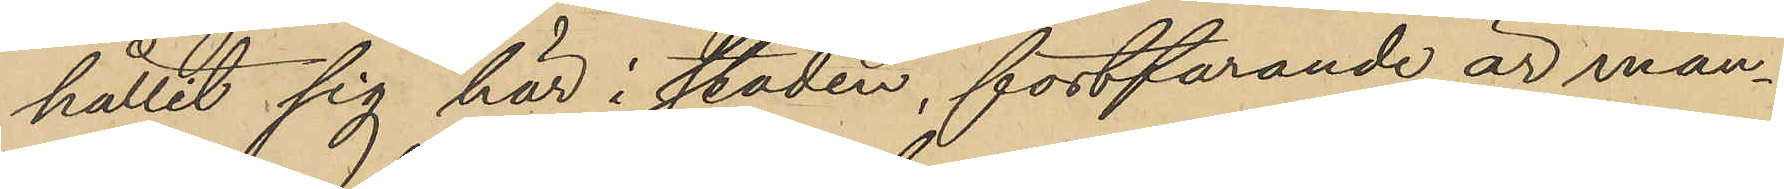hållit sig här i staden, fortfarande är man¬
